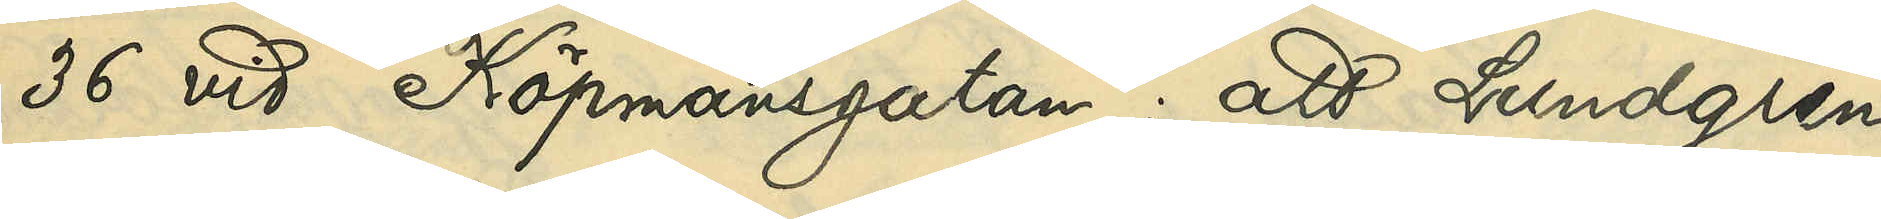36 vid Köpmansgatan: att Lundgren
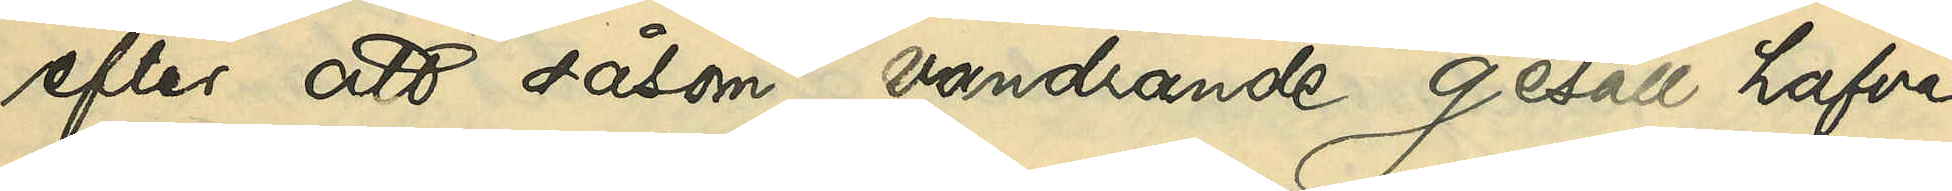efter att såsom vandrande gesäll hafva
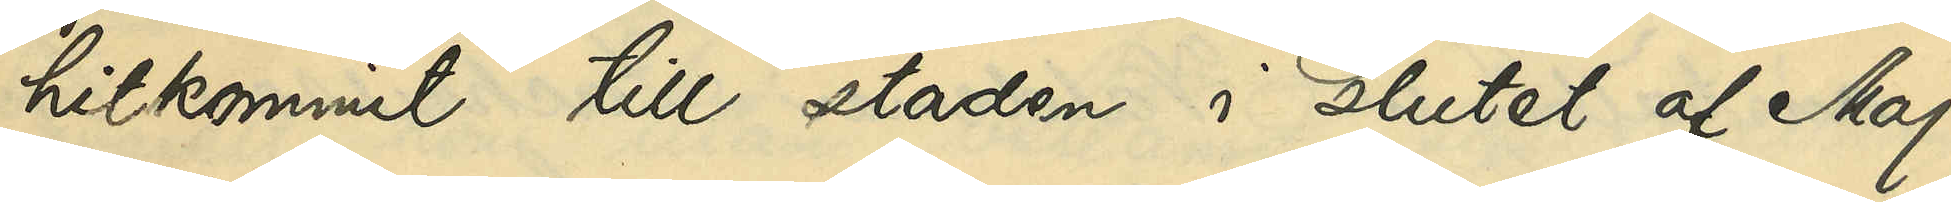hitkommit till staden i slutet af Maj
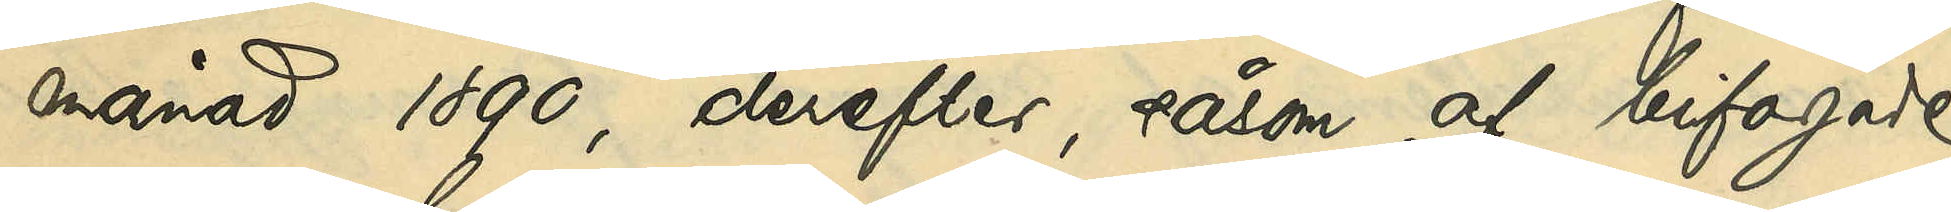månad 1890, derefter, såsom af bifogade
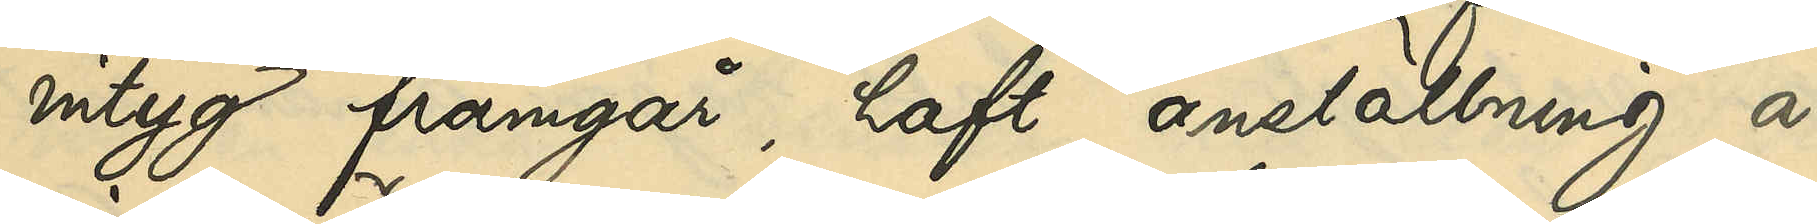intyg framgår, hafta anställning å
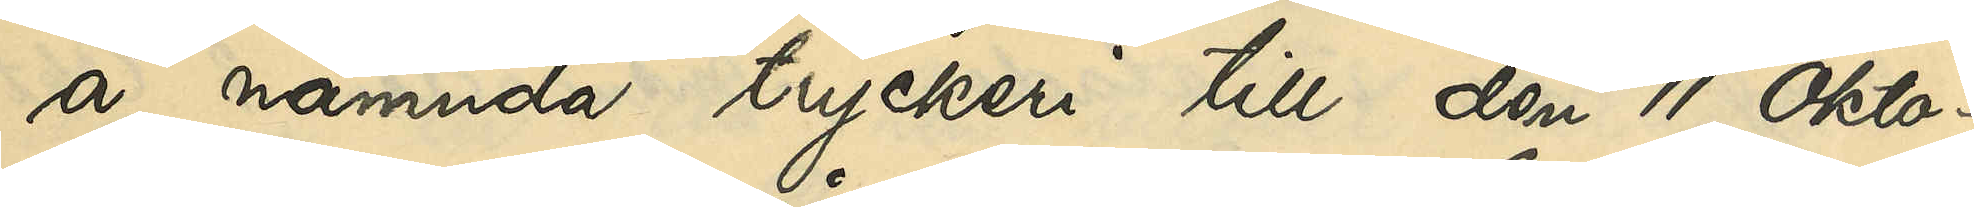å nämnda tryckeri till den 11 Okto¬
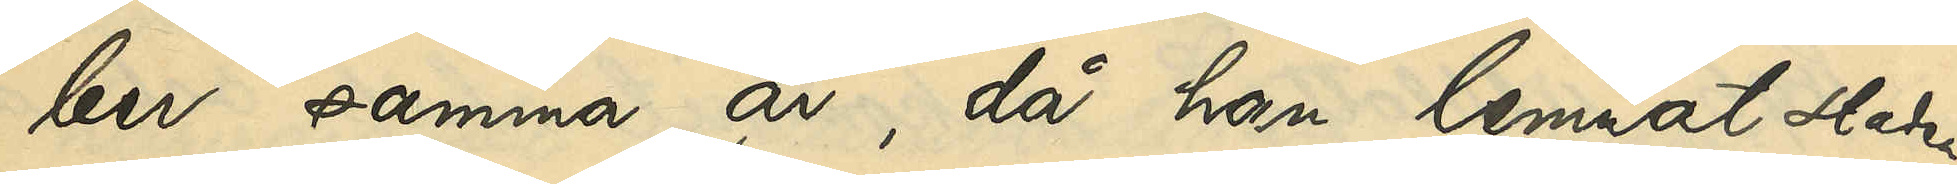ber samma år, då han lemnat staden.
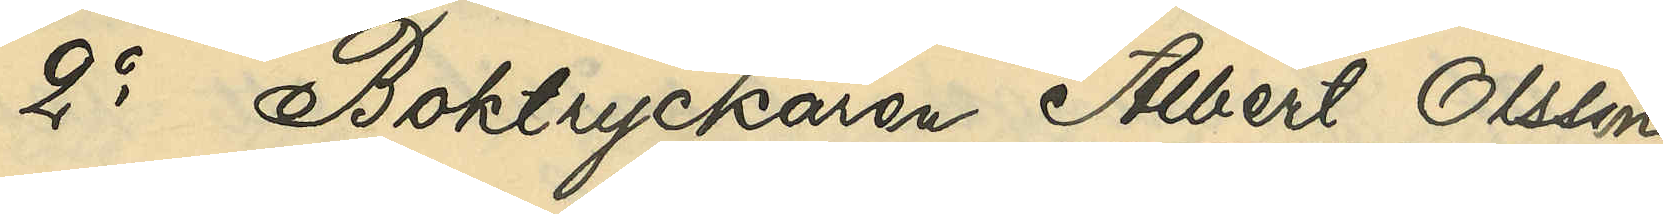2o Boktryckaren Albert Olsson,
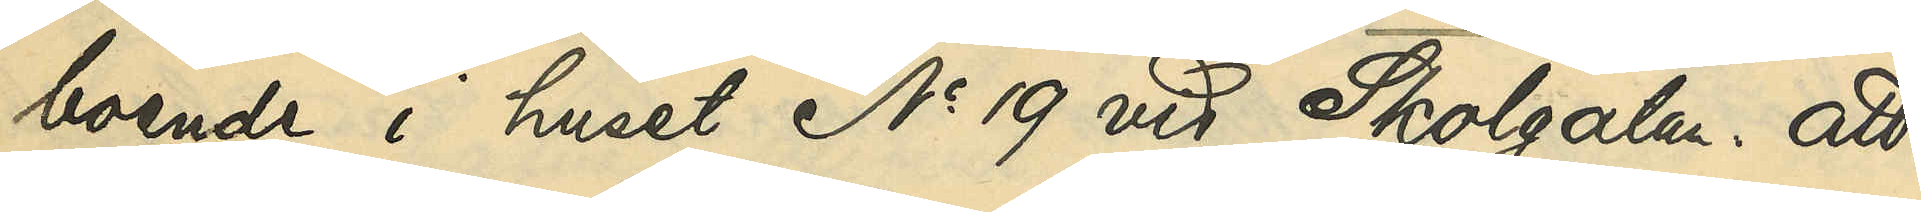boende i huset No 19 vid Skolgatan: att
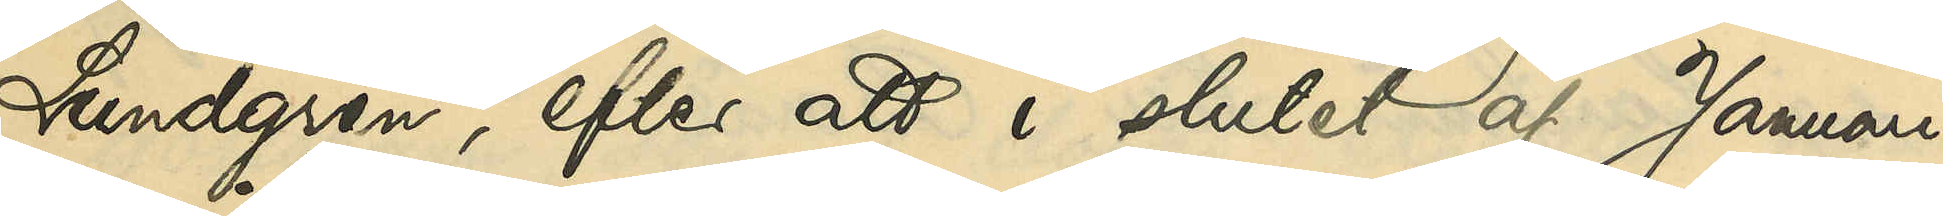Lundgren, efter att i slutet af Januari
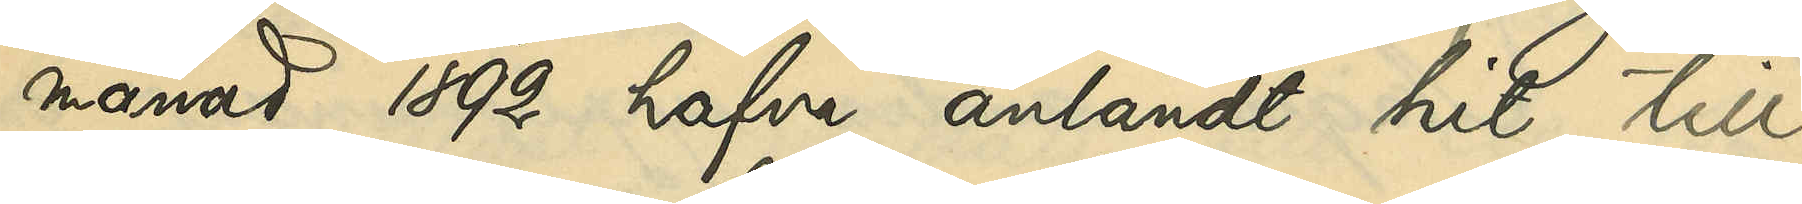månad 1892 hafva anländt hit till
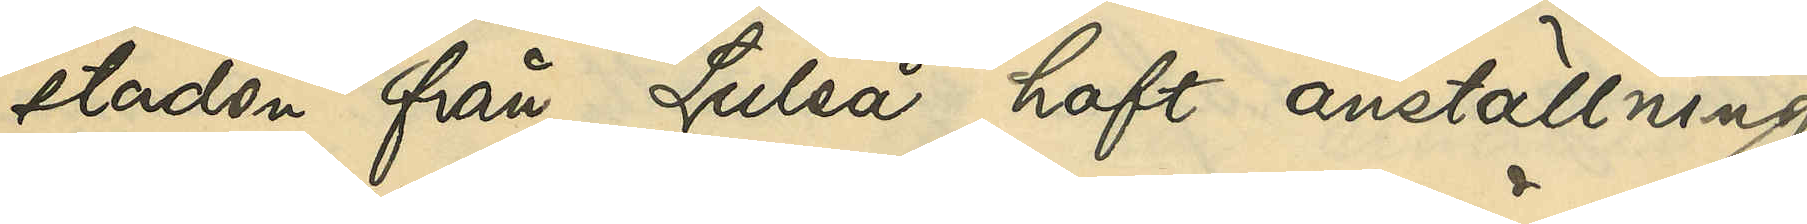staden från Luleå, haft anställning
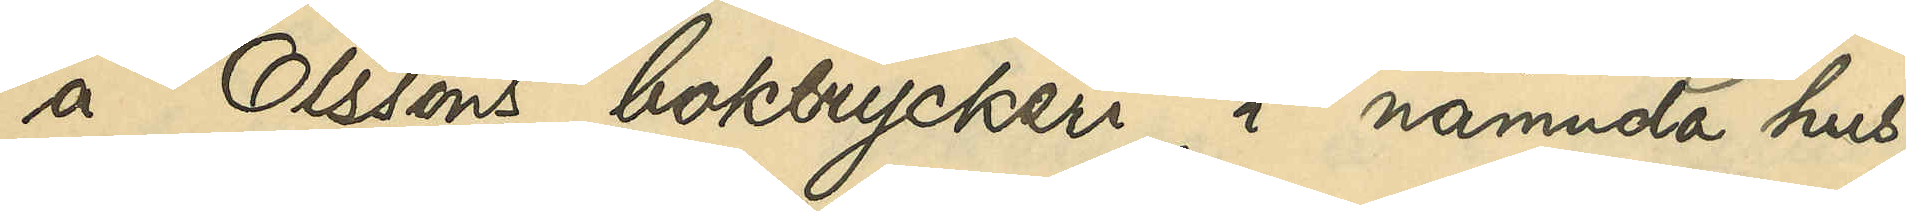å Olssons boktryckeri i nämnda hus
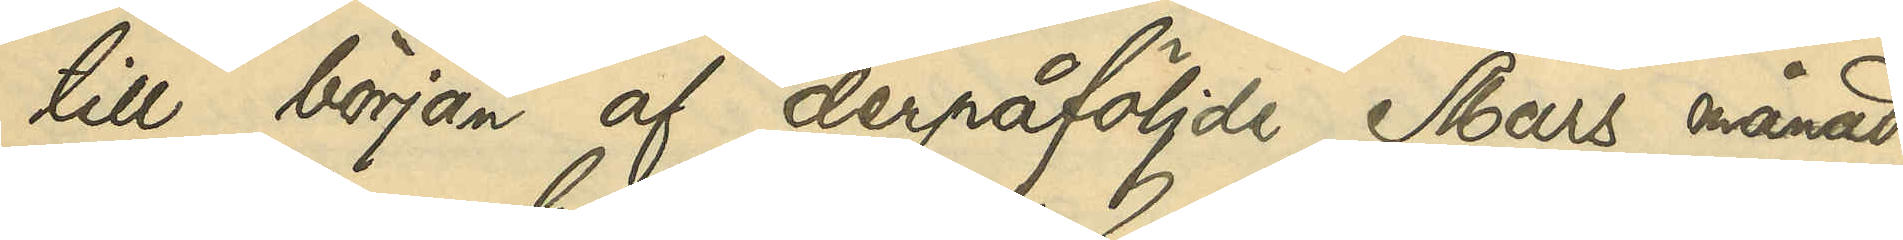till början af derpåföljde Mars månad,
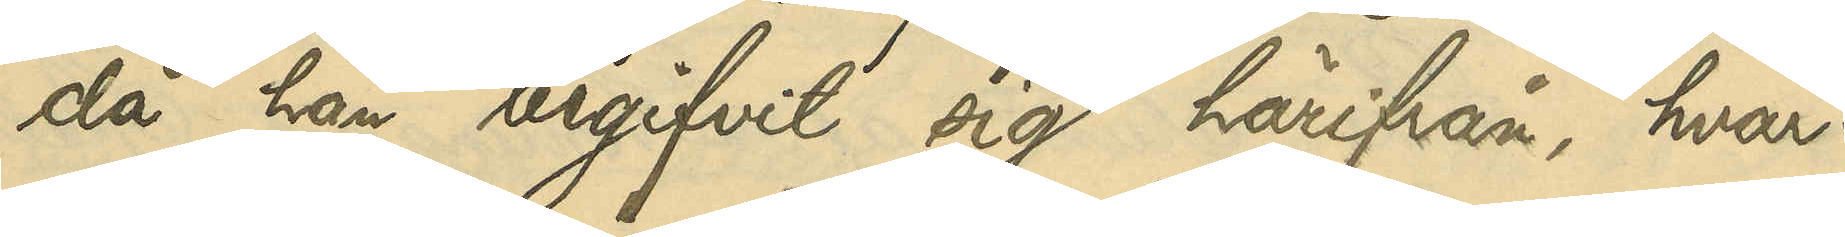då han begifvit sig härifrån, hvar¬
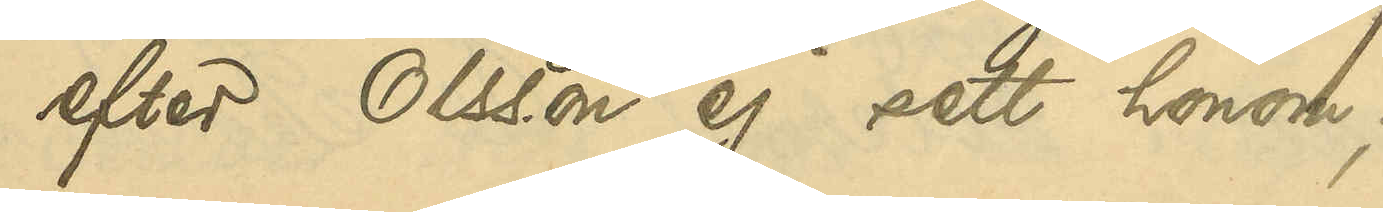efter Olsson ej sett honom;
